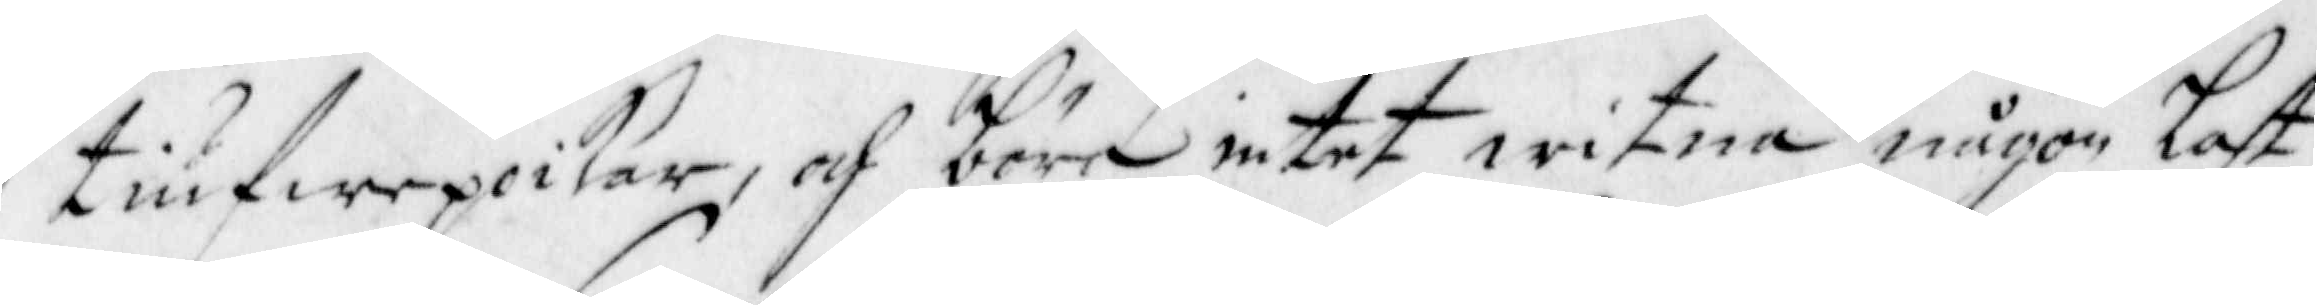tiufwepoikar, och böra intet witna någon Last
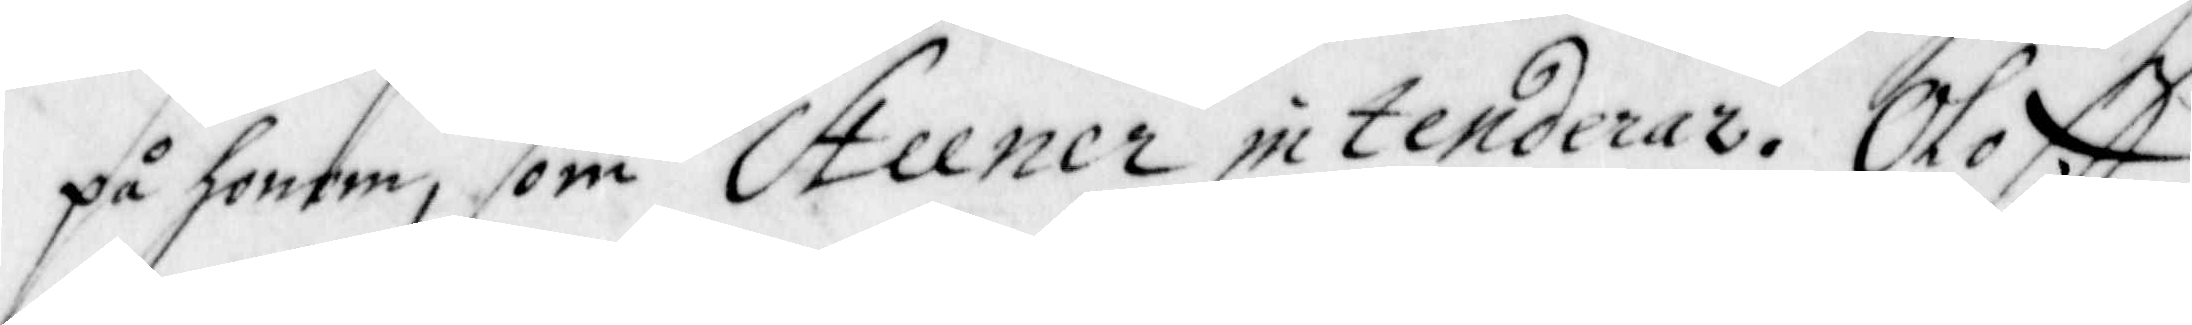på honom, som Steener intenderar. Oloff
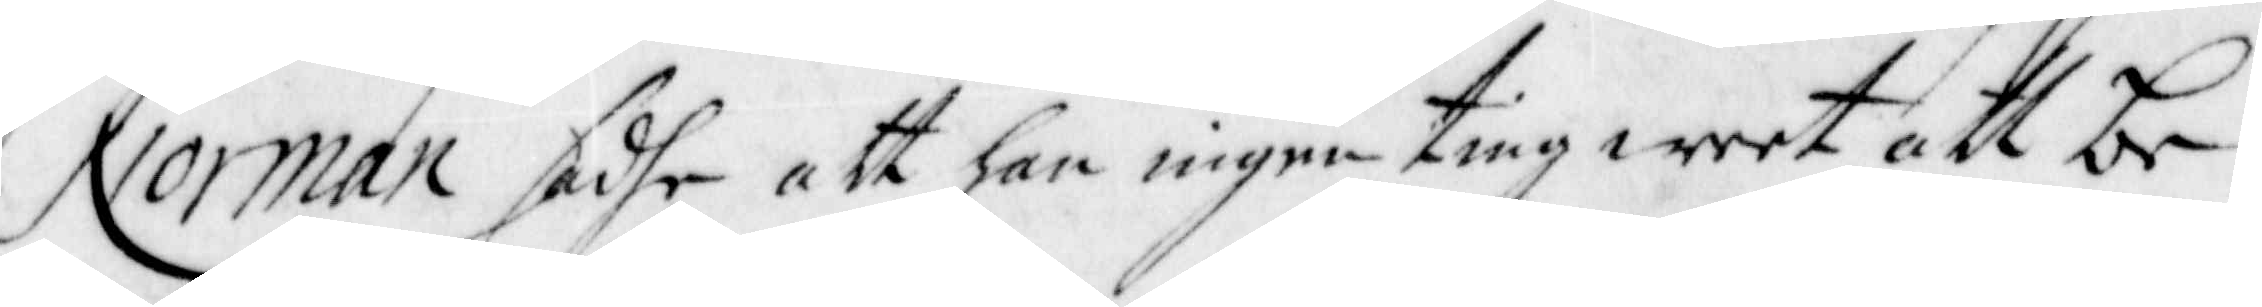Norman sadhe att han ingenting weet att be¬
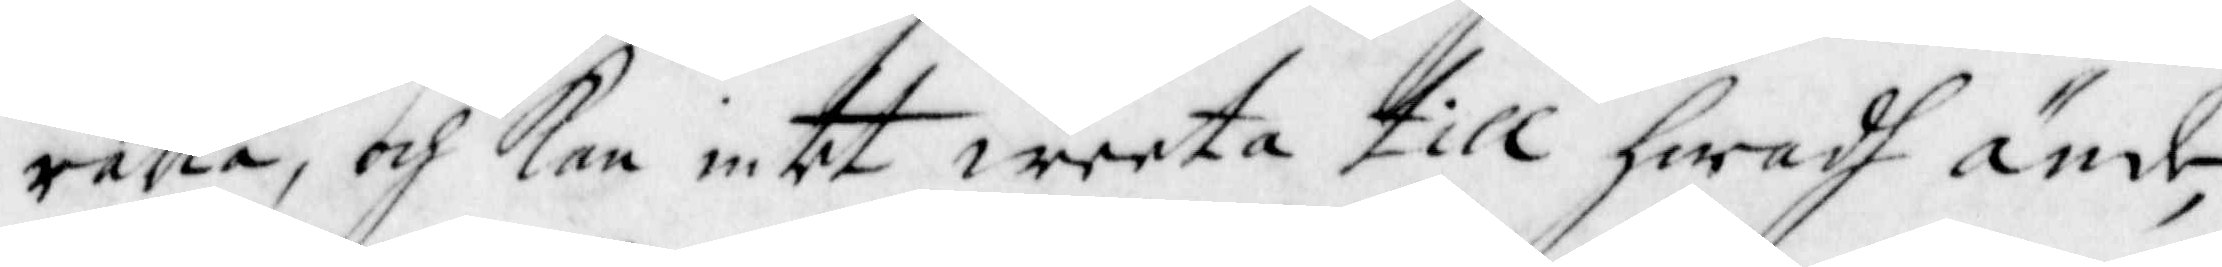rätta, och Kan intet weeta till hwadh ände,
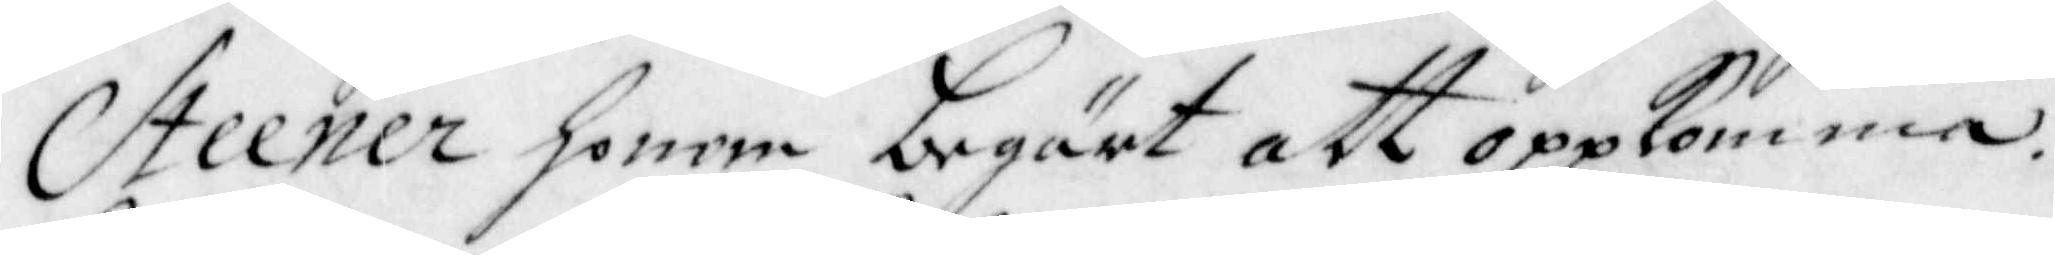Steener honom begärt att oppkomma.
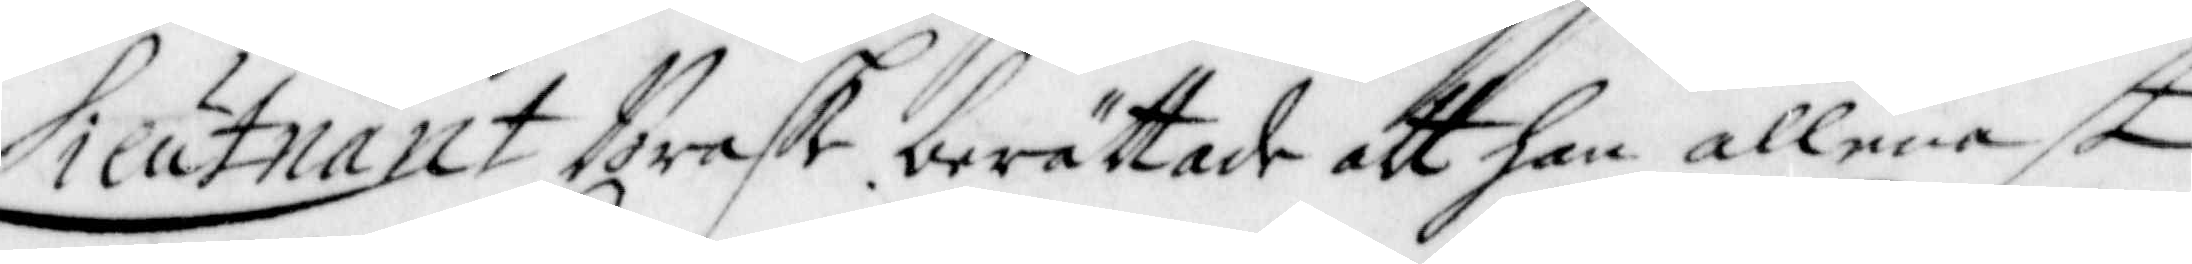Lieutnant Brask berättade att han allenast
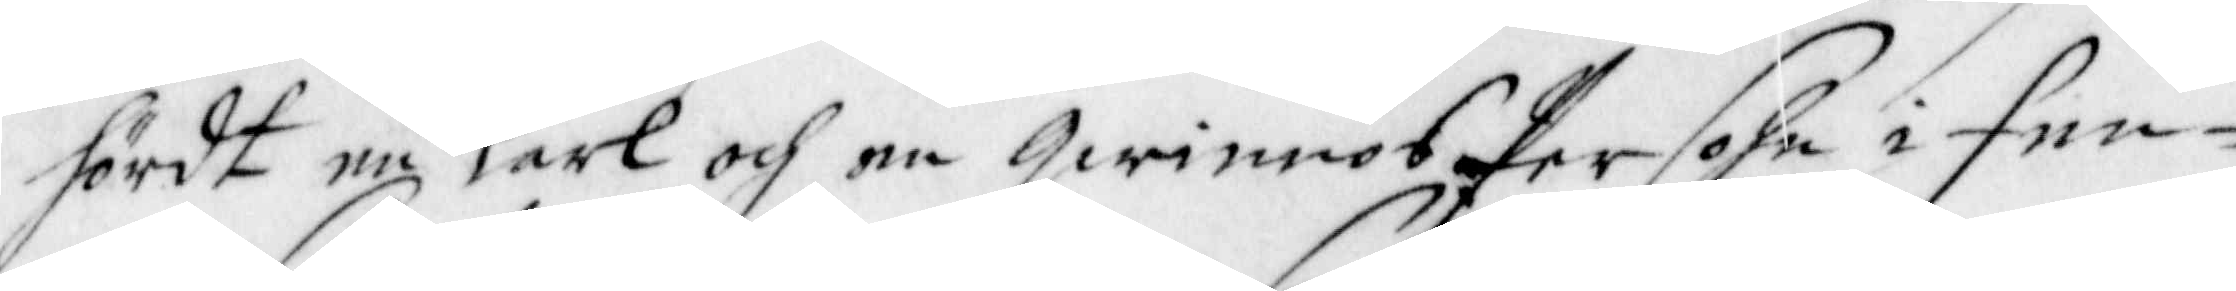hördt en Karl och en Qwinnos Persohn i Fen¬
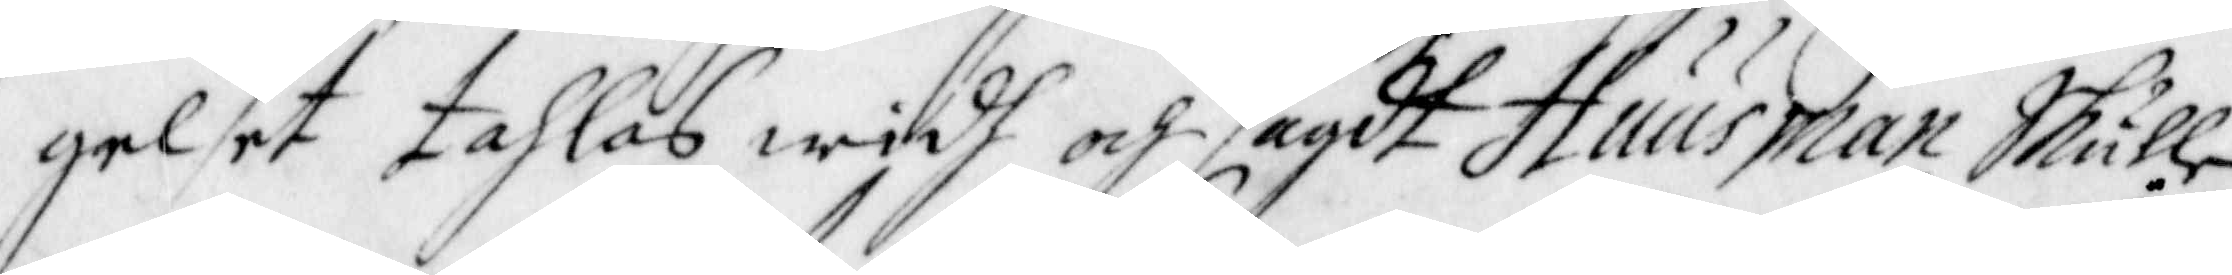gelset tahlas widh och sagdt Huusman Skulle
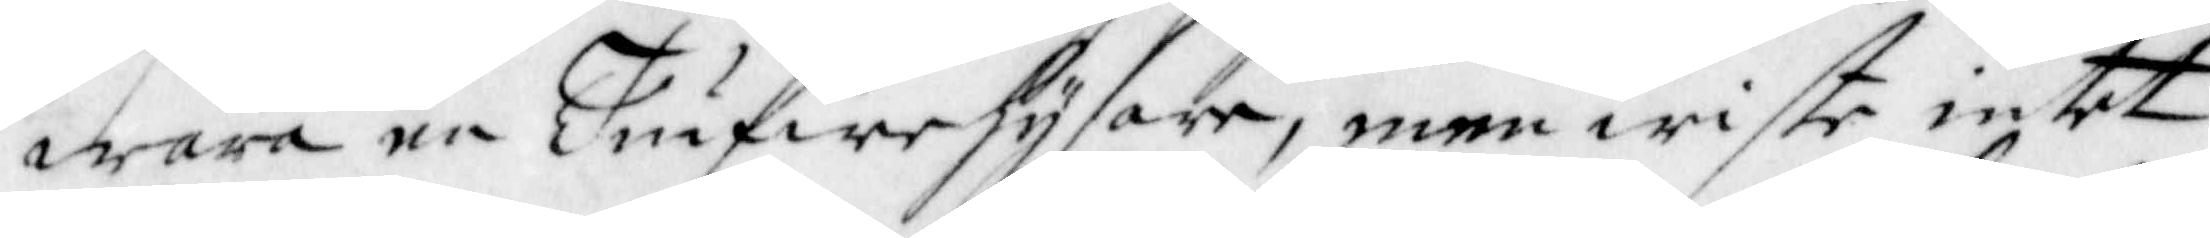wara en Tiufwehysare, men wiste intet
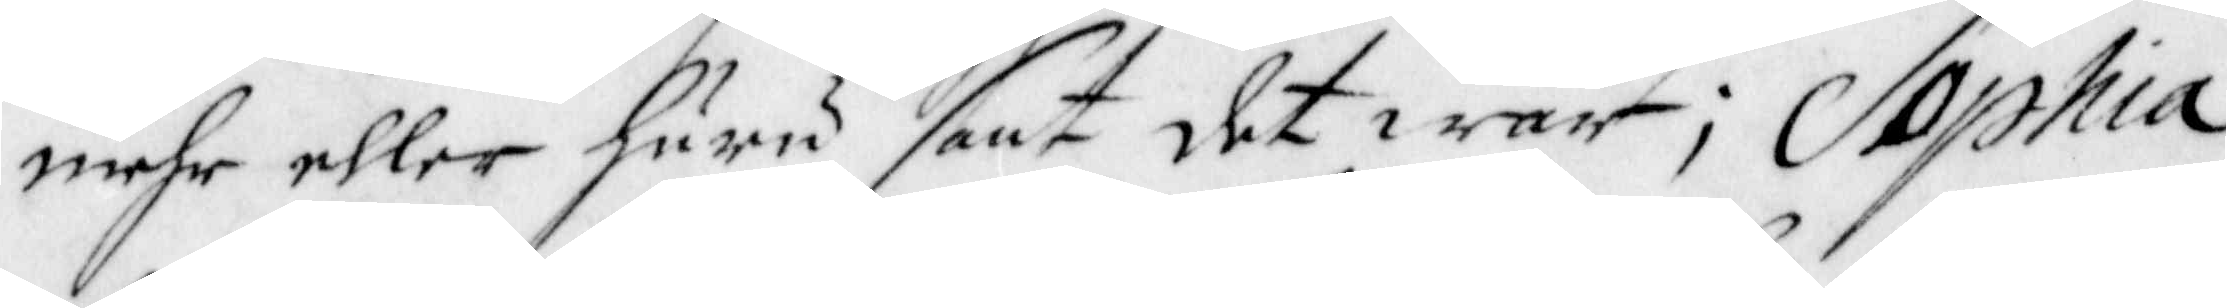mehr eller huru sant det war; Sophia
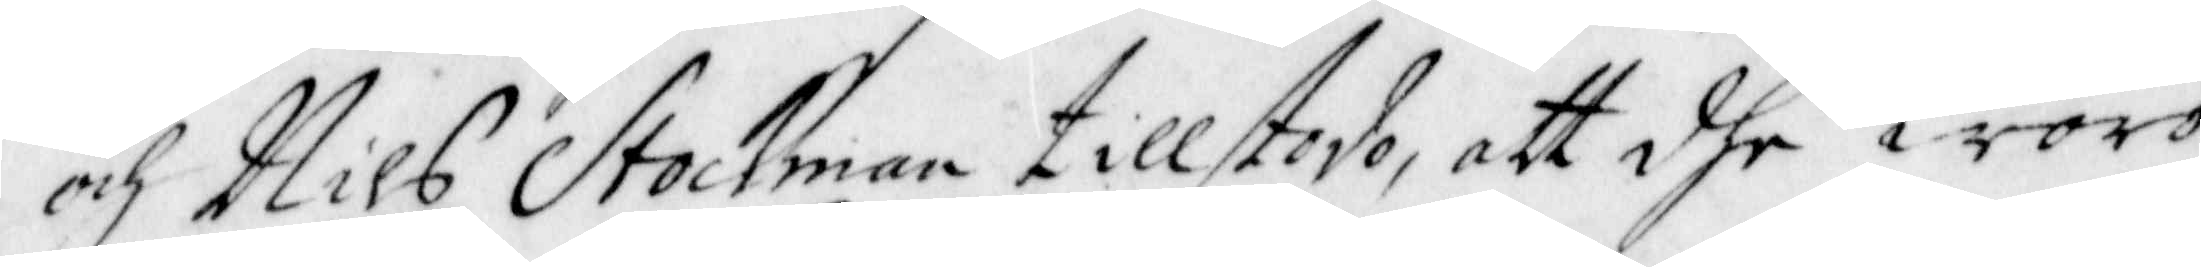och Nils Stockman tillstodo, att dhe woro
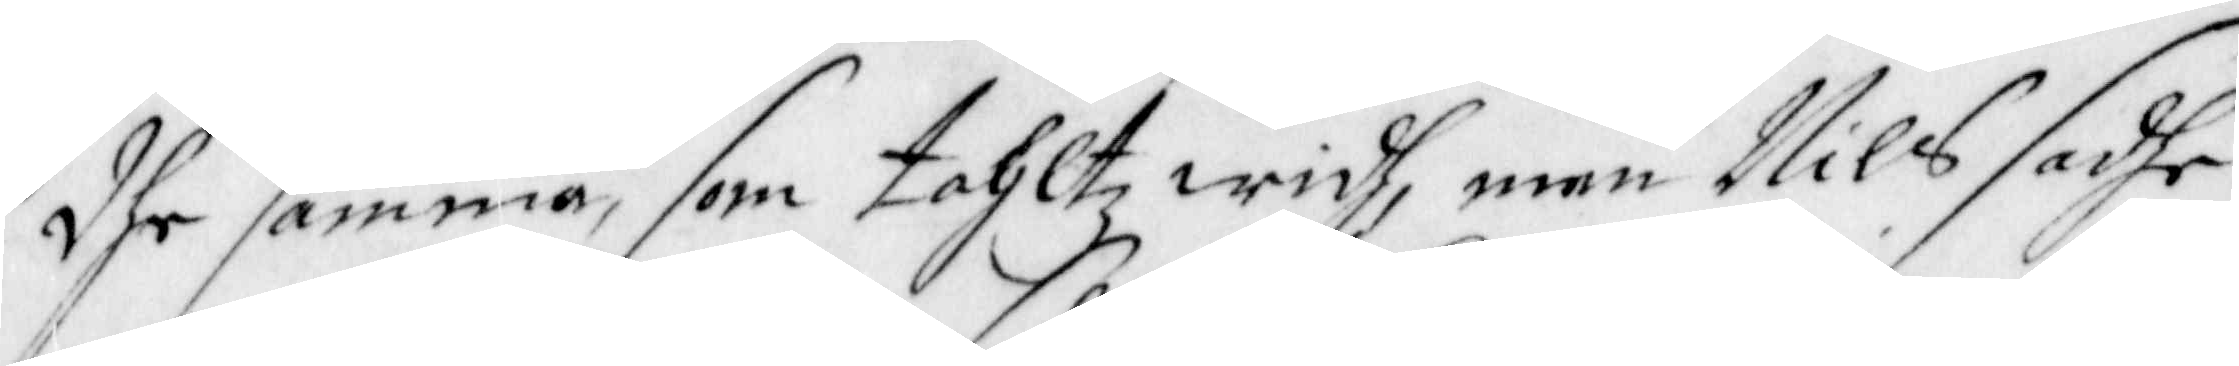dhe samma, som tahltz widh, men Nils sadhe
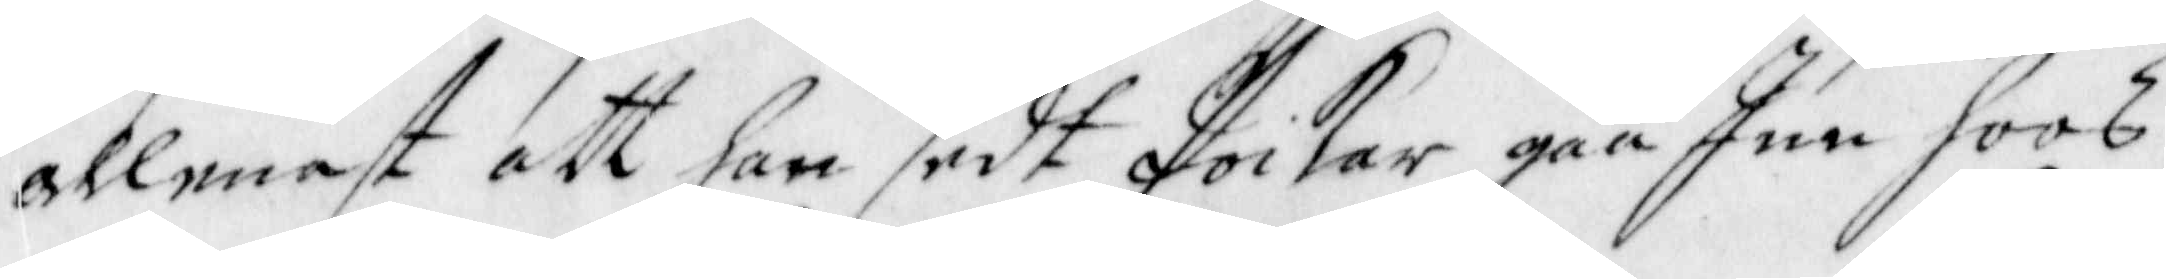allenast att han sedt Poikar gåå Inn hoos
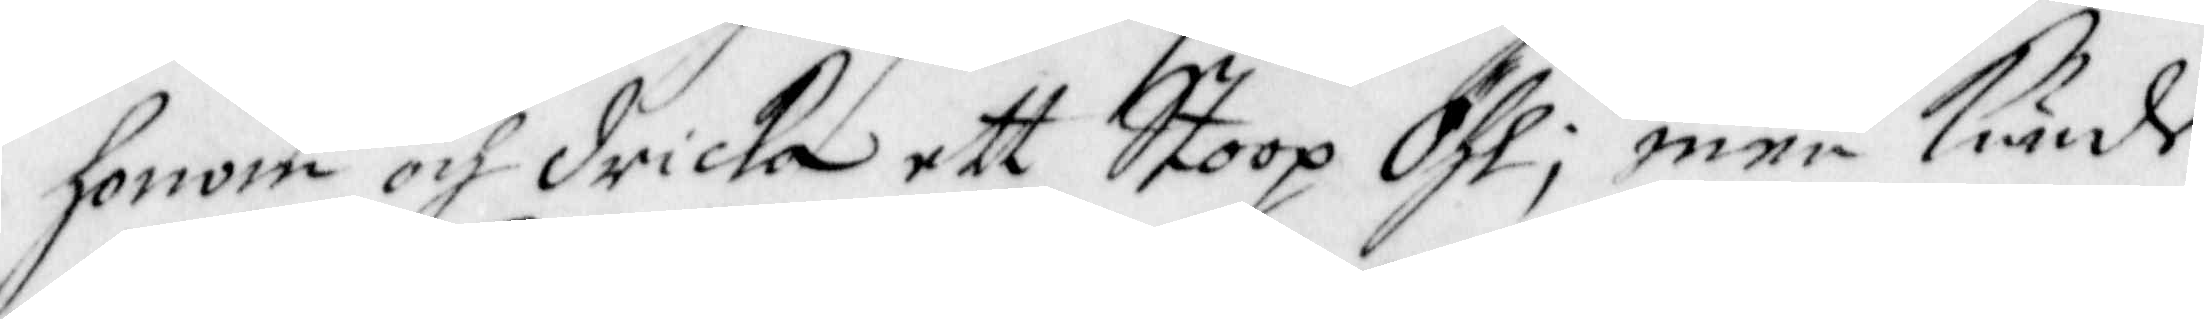honom och dricka ett Stoop Öhl; Men kunde
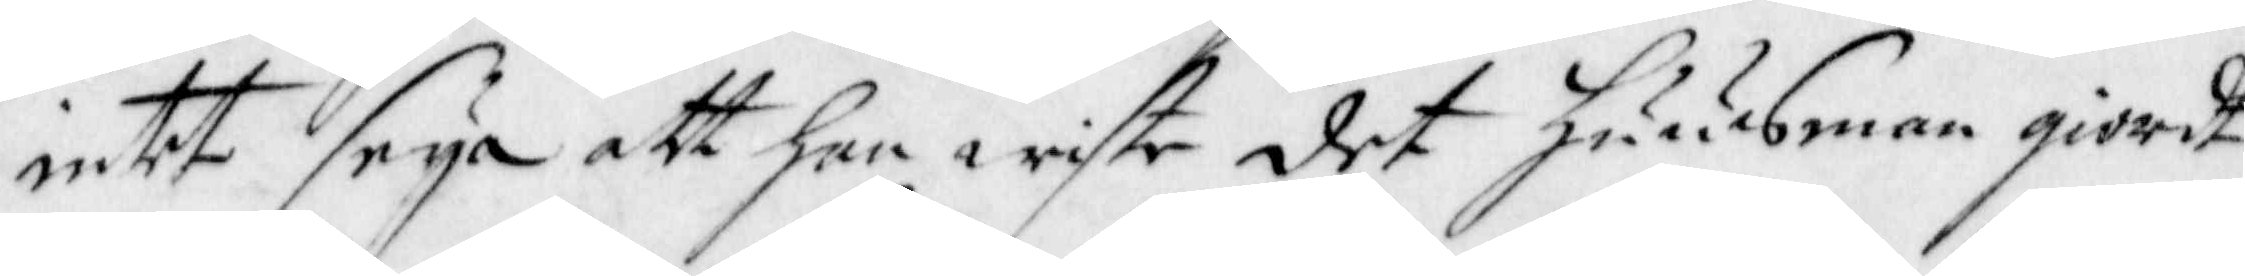intet seya att han wiste det Huusman giordt
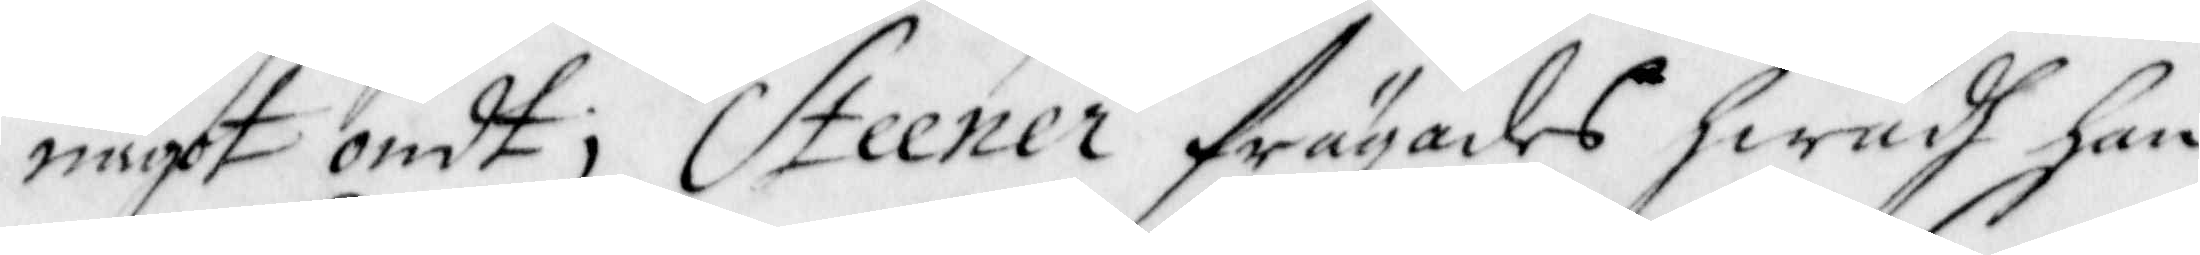något ondt; Steener frägades hwadh han
